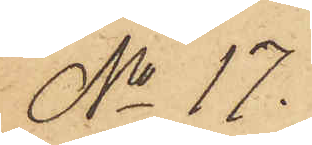No 17.
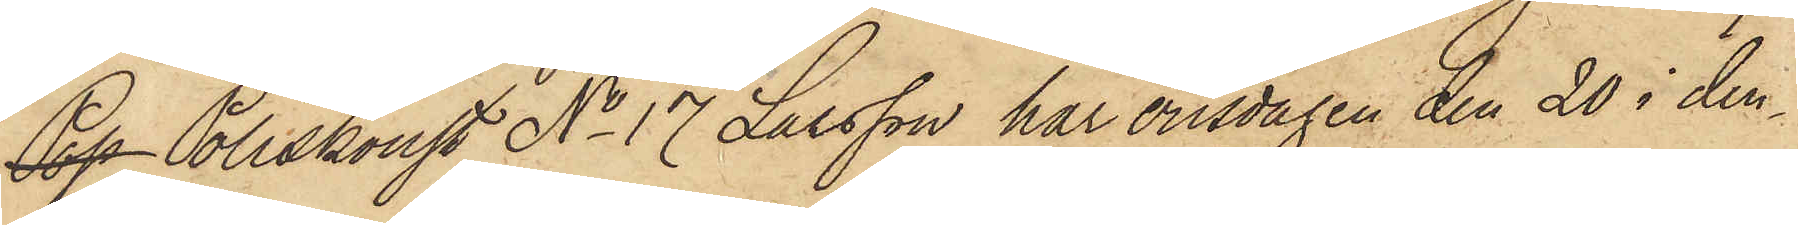Pop Poliskonst No 17 Larsson har onsdagen den 20 i den¬
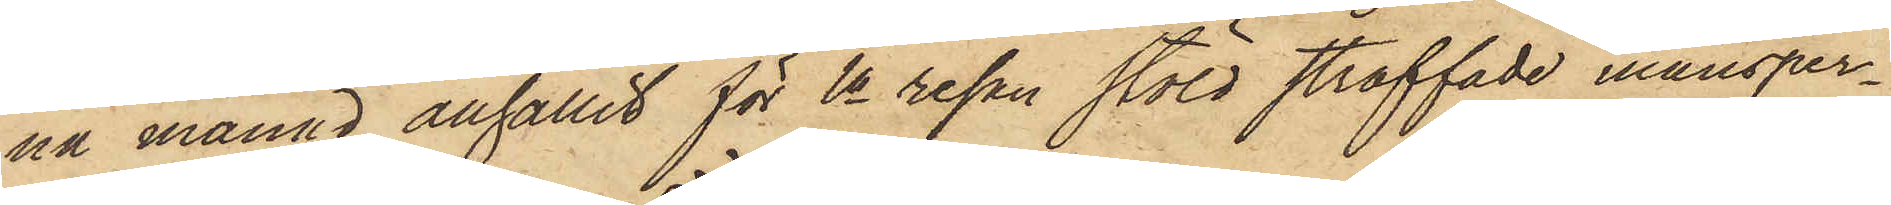na månad anhållit för 1a resan stöld straffade mansper¬
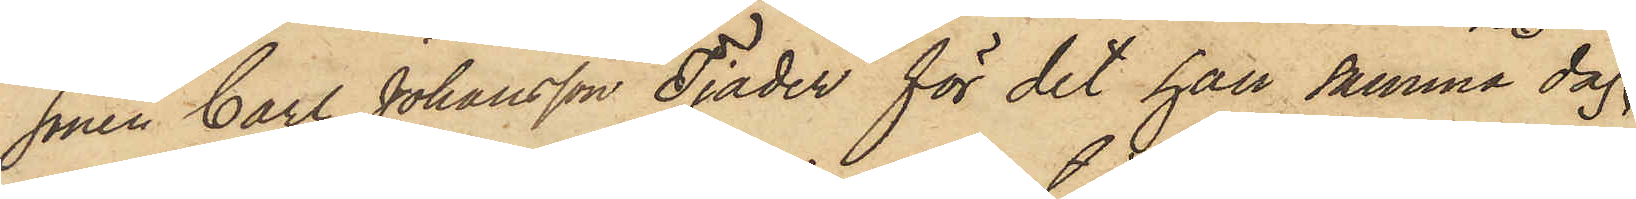sonen Carl Johansson Tjäder för det han samma dag
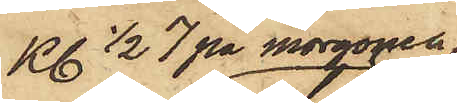Kl. 1/2 7 på morgonen,
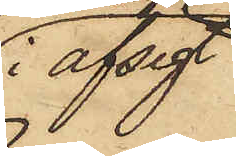i afsigt
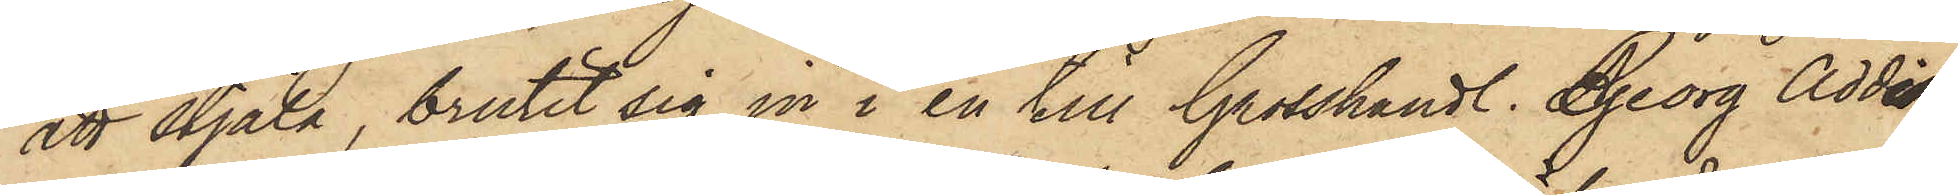att stjäla, brutit sig in i en till Grosshandl. Georg Addi¬
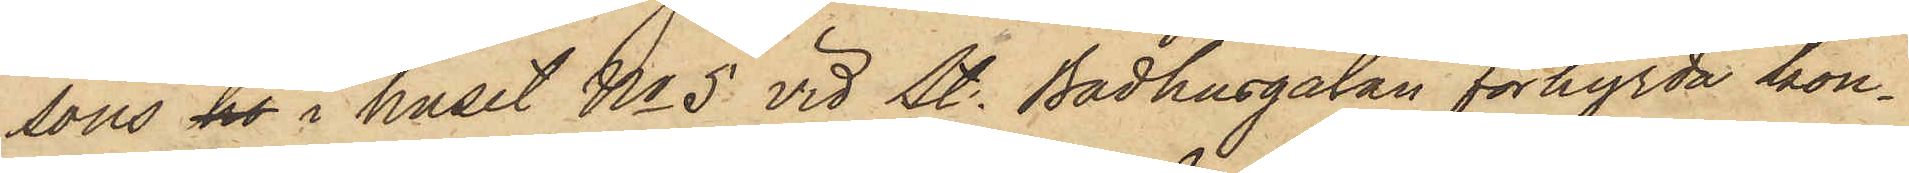sons ho i huset No 5 vid St. Badhusgatan förhyrda kon¬
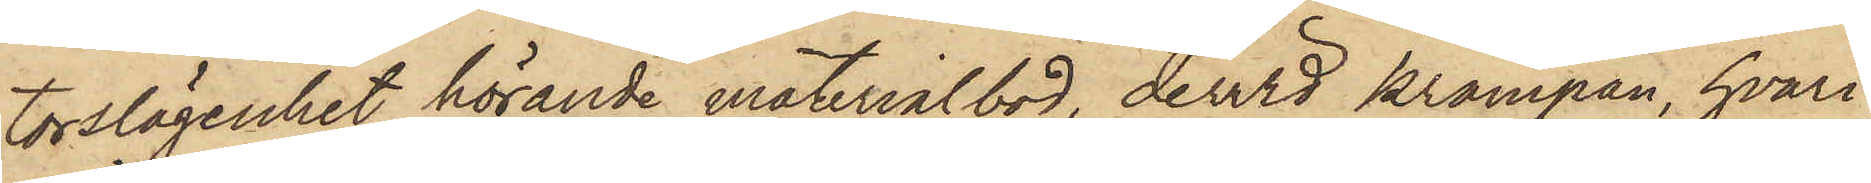torslägenhet hörande materialbod, dervid krampan, hvari
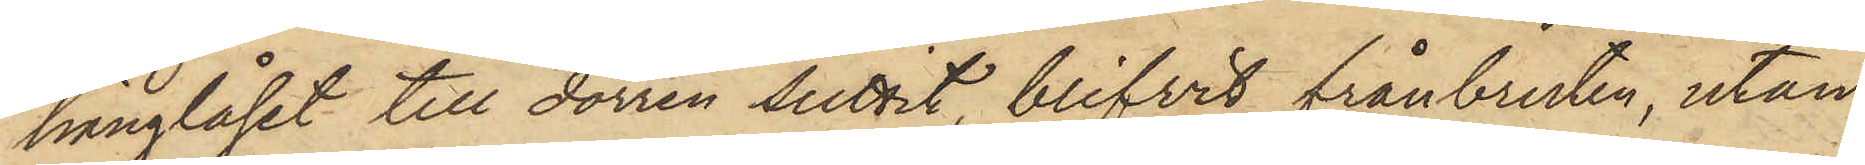hänglåset till dörren suttit, blifvit frånbruten, utan
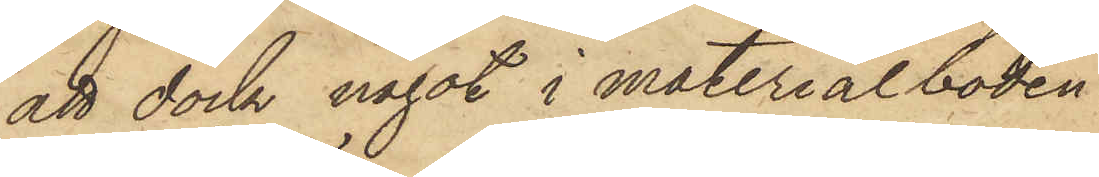att dock något i materialboden
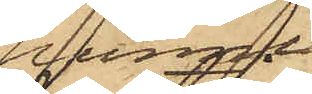hunnit
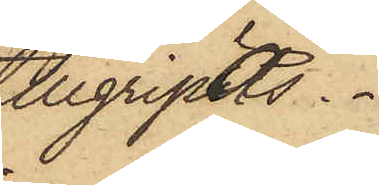tillgripas.
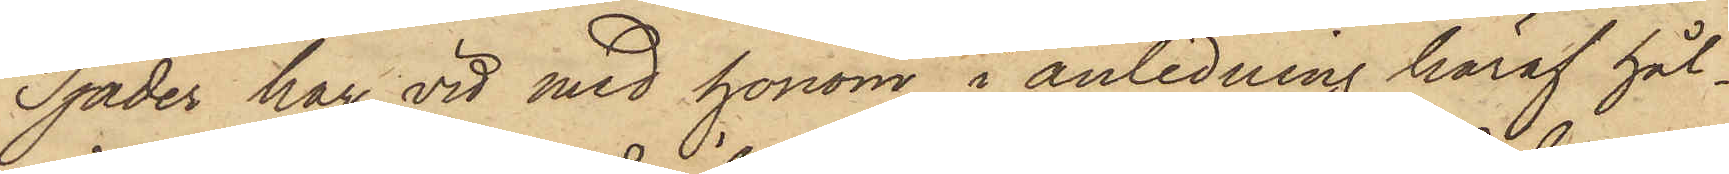Tjäder har vid med honom i anledning häraf hål¬
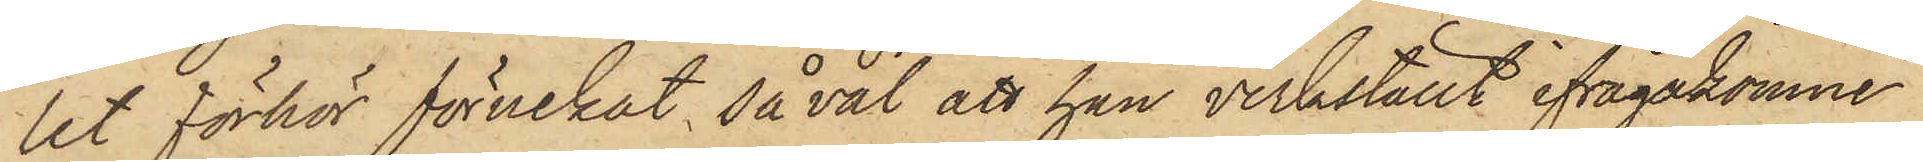let förhör förnekat såväl att han verkställt ifrågakomne
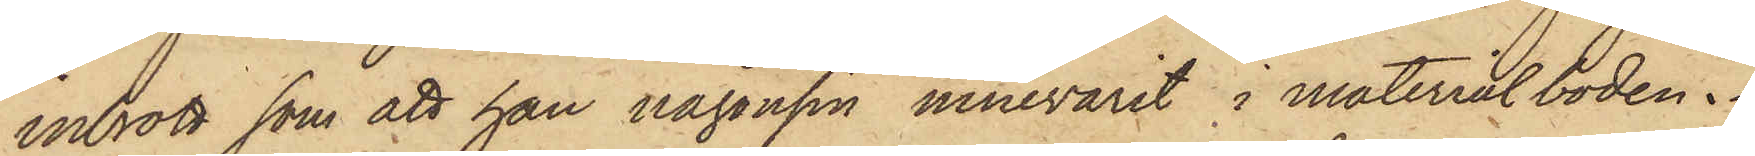inbrott som att han någonsin innevarit i materialboden.
